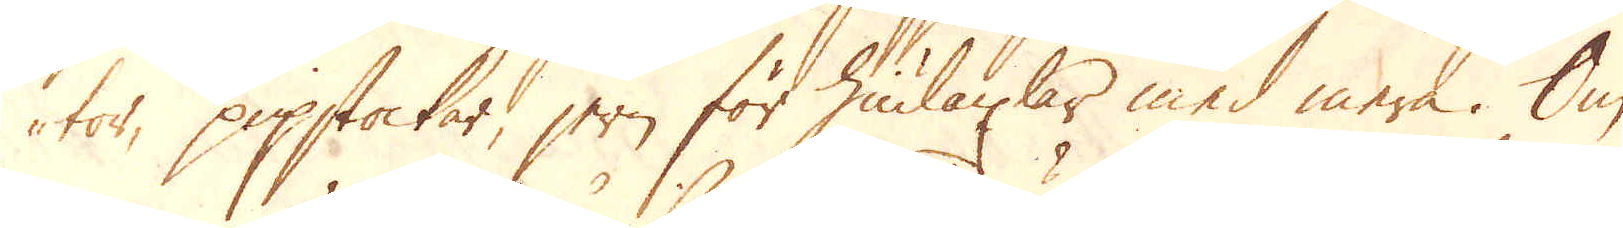tor, pipstockar, jern för hiulaxlar med mera. Om
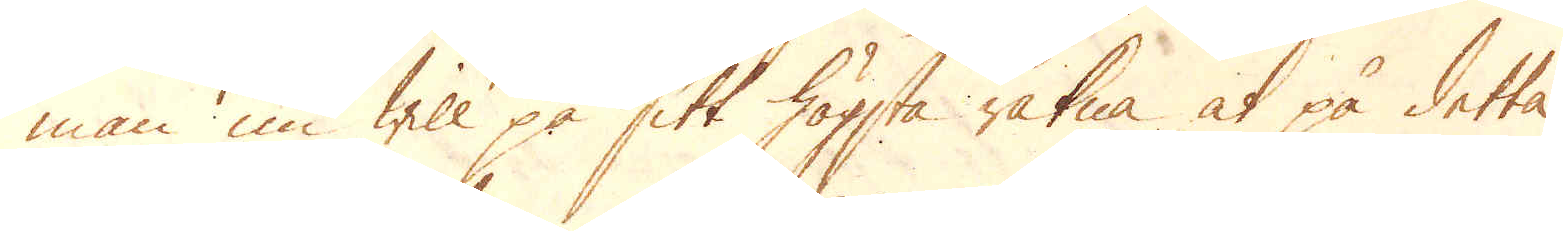man nu will på sitt högsta räkna at på detta
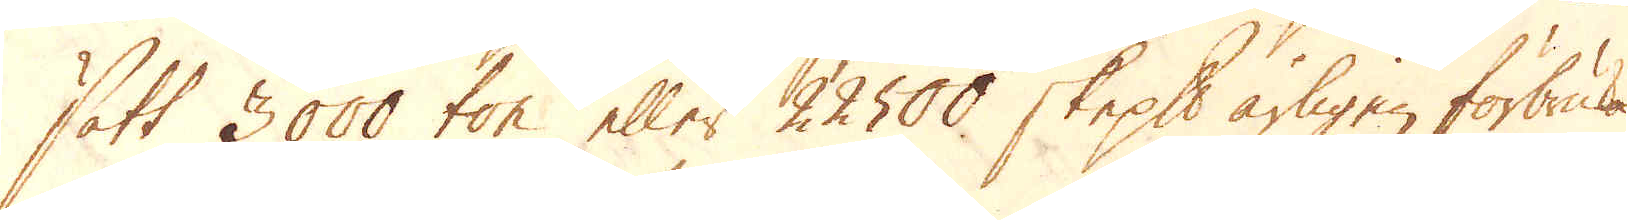sätt 3000 ton eller 22500 skeppund årligen förbrukas,
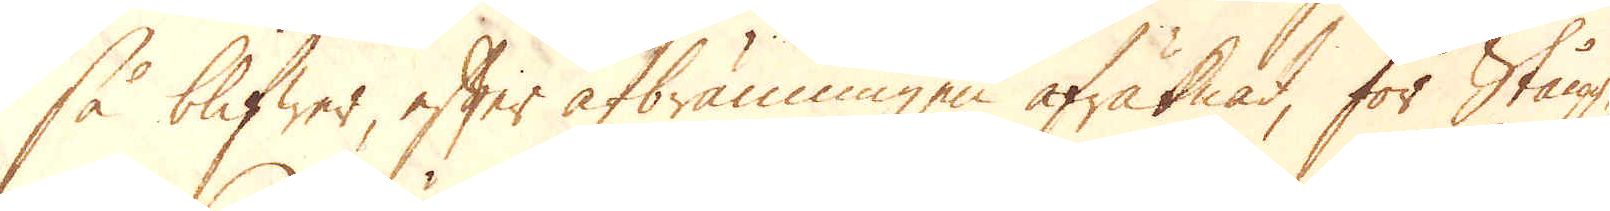så blifwer, efter afbränningen afräknat, för Stång-
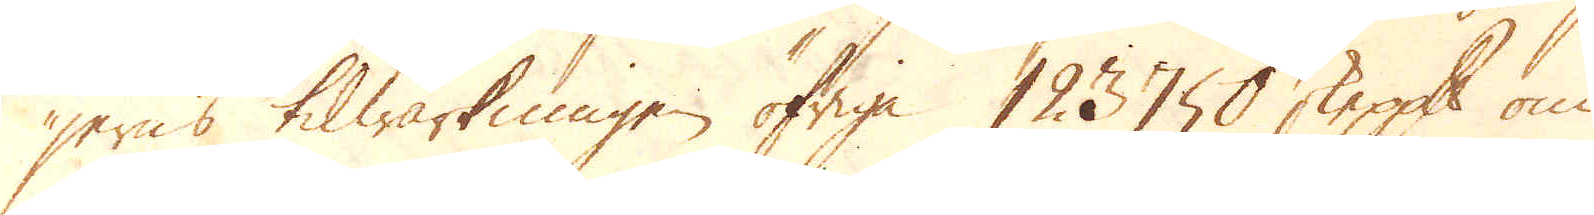jerns tilwärkningen öfriga 123750 skeppund om
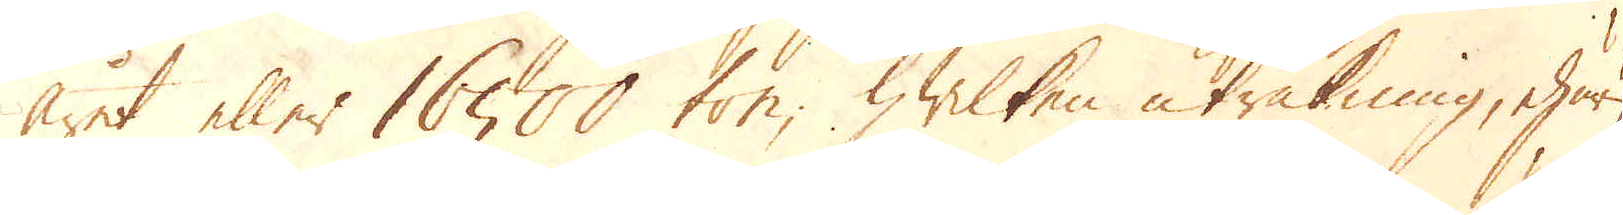året eller 16500 ton, hwilken uträkning, ehuru
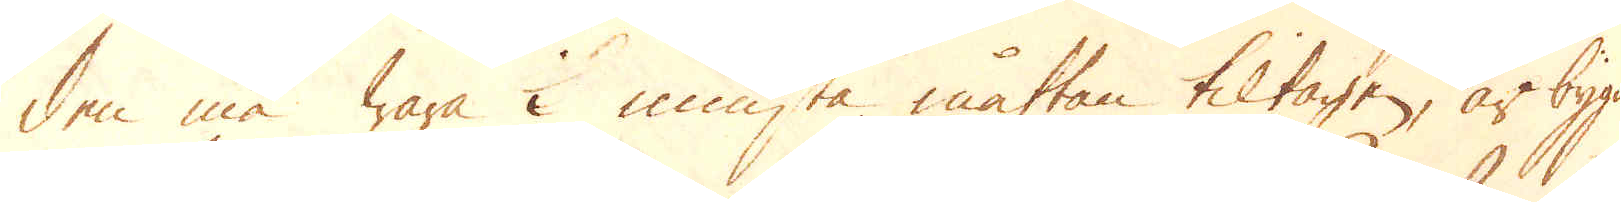den må wara i minsta måttan tiltagen, är bygd
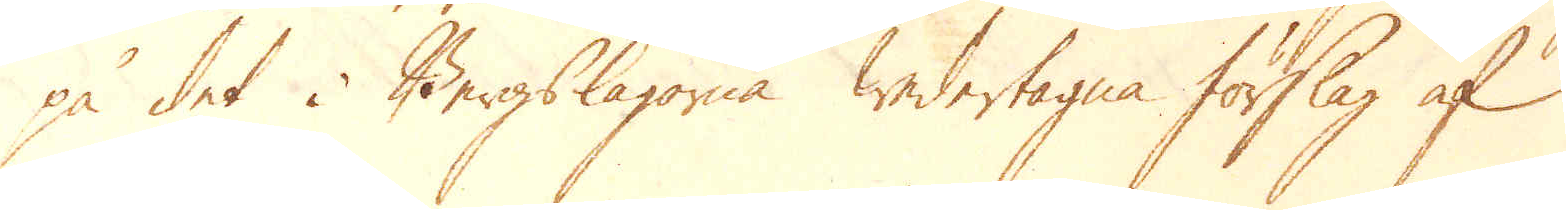på det i Bergslagorna wedertagna förslag af
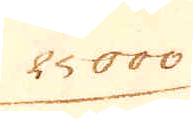25000
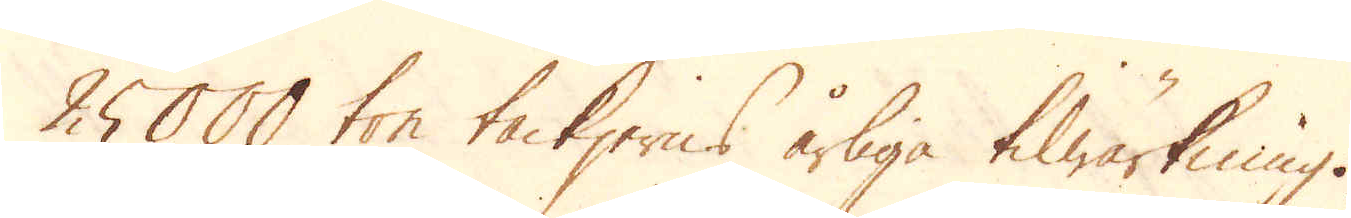25000 ton tackjerns årliga tilwärkning.
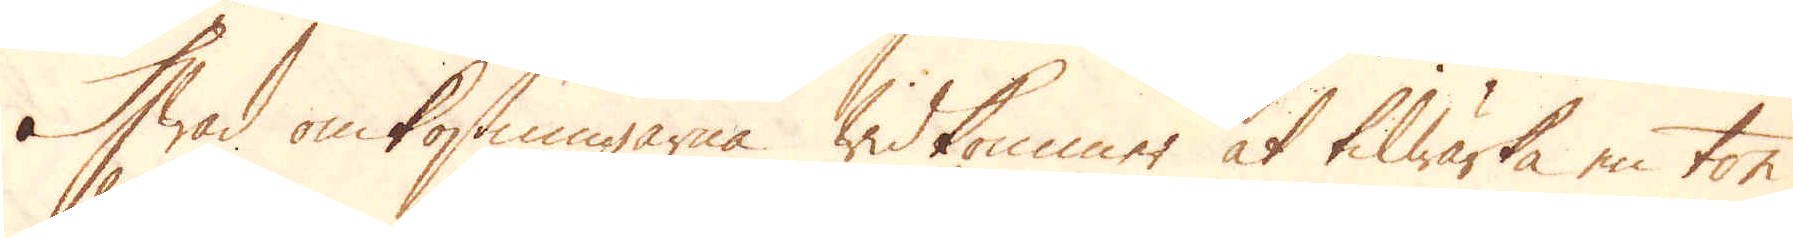Hwad omkostningarna widkommer at tilwärka en ton
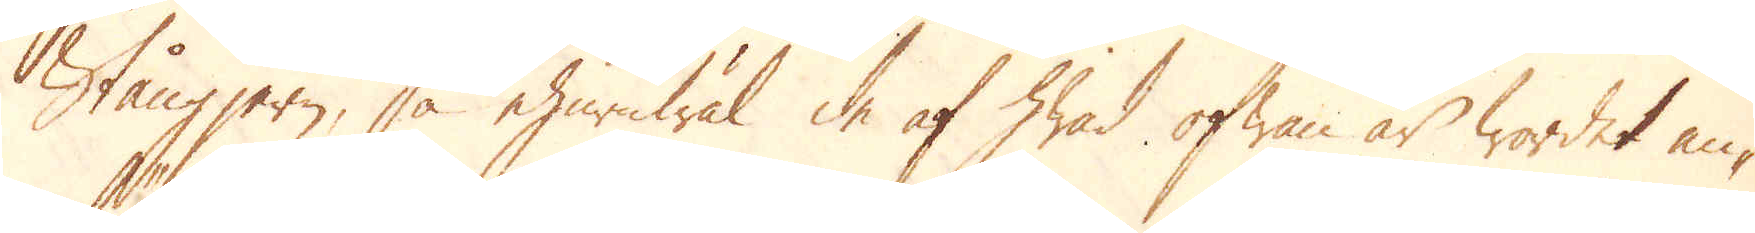Stångjern, så ehuruwäl de af hwad ofwan är wordet an-
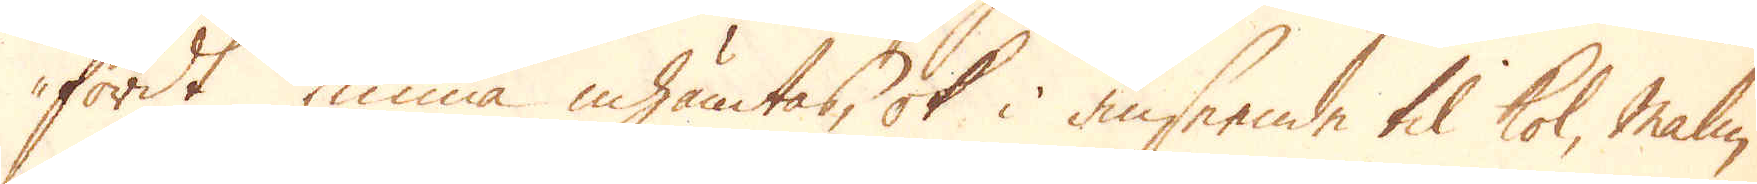fördt kunna inhämtas, ok i anseende til kol, malm
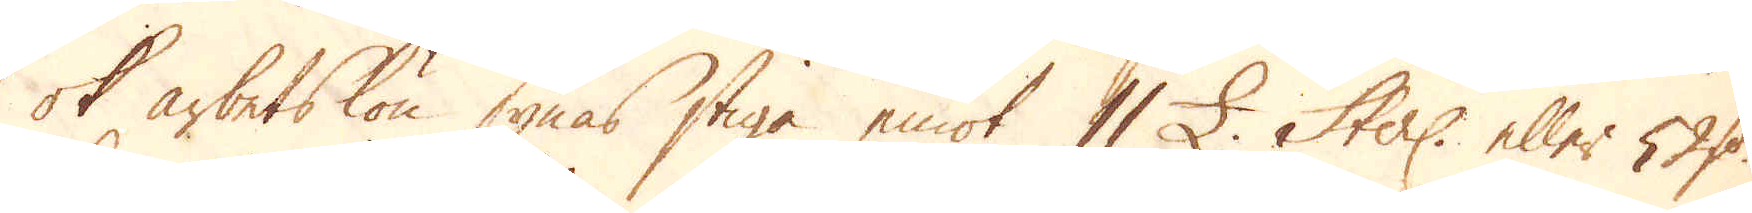ok arbetslön synas stiga emot 11 £. Sterl: eller 53 D:r
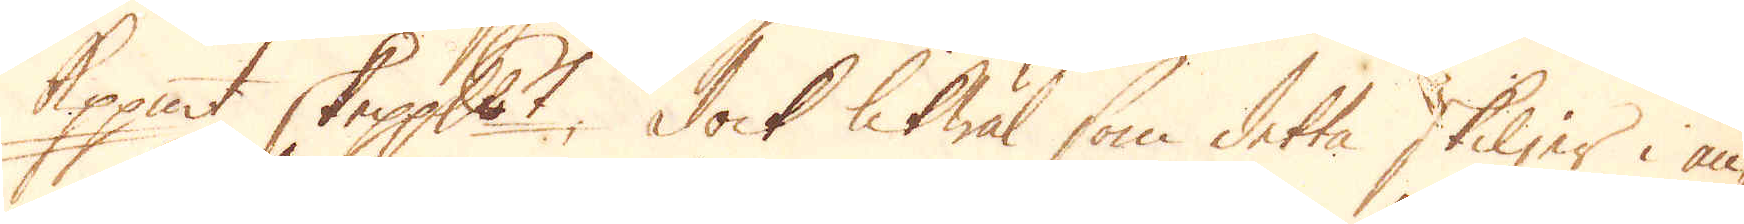Kopp:mt skeppundet. Dock likwäl som detta skiljer i an-
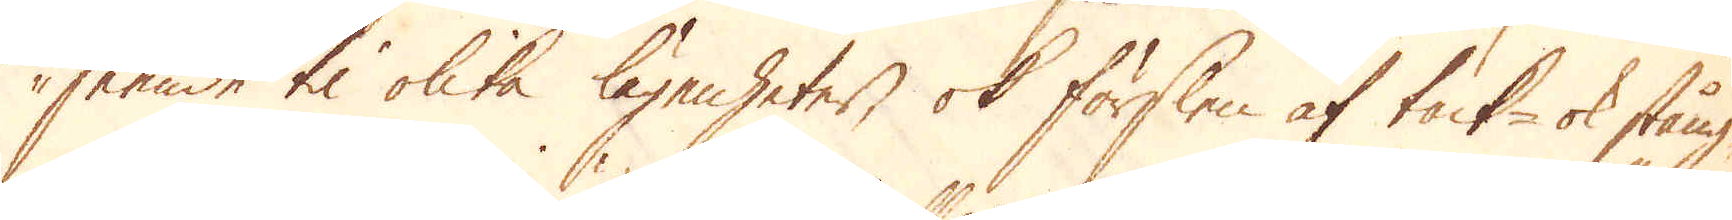seende til olika lägenheter, ok förslen af tack- ok stång-
